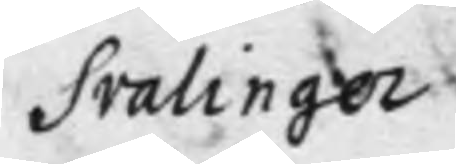Svalinger
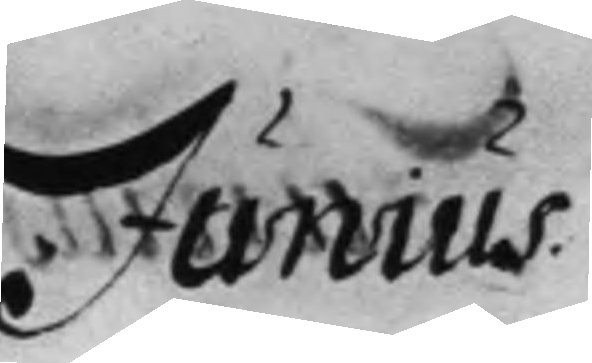Junius
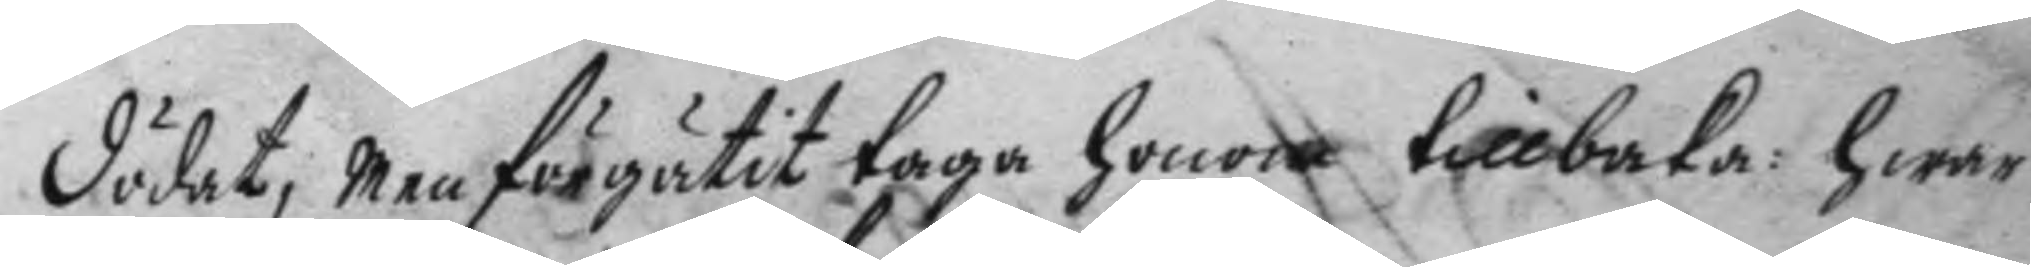dödat, men förgätit taga honom tillbaka: hwar
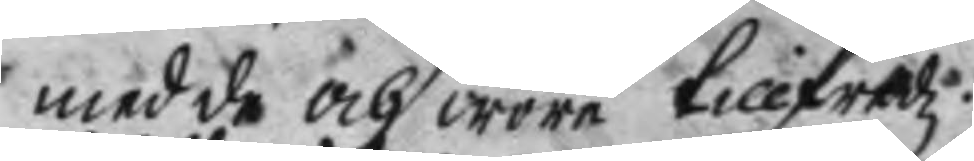med de och wore tillfredz.
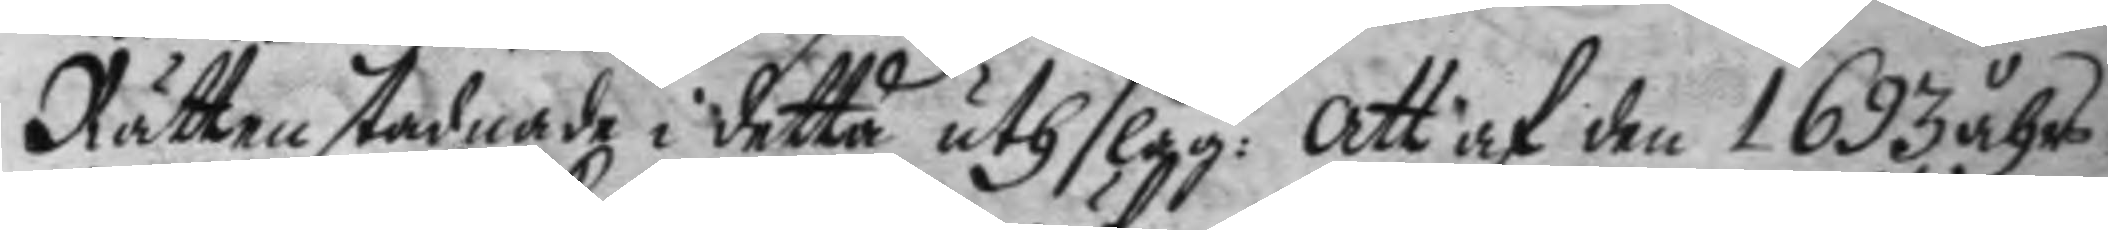Rätten stadnade i detta uthslag: Att af den 1693 åhrs
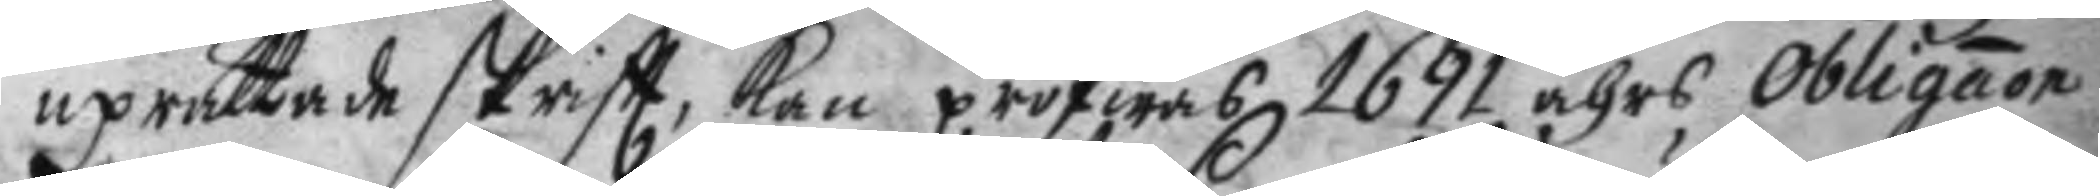uprättade skriftt, kan pröfwas 1691 åhrs Obligaon
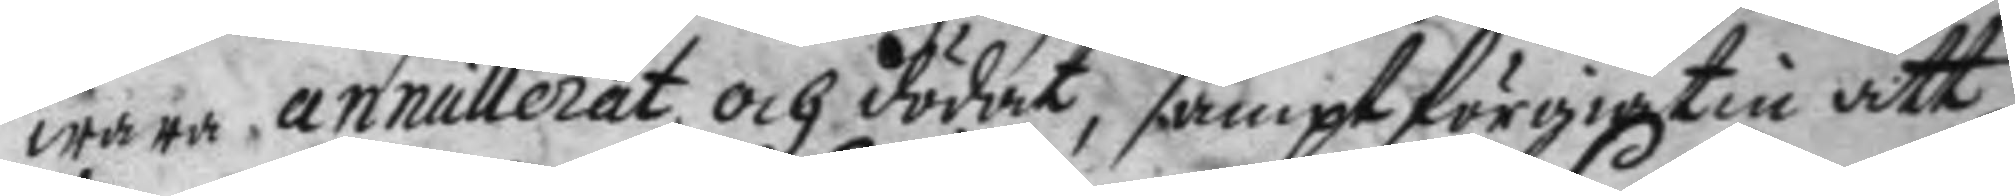wara annullerat och dödat, sampt förgiäten att
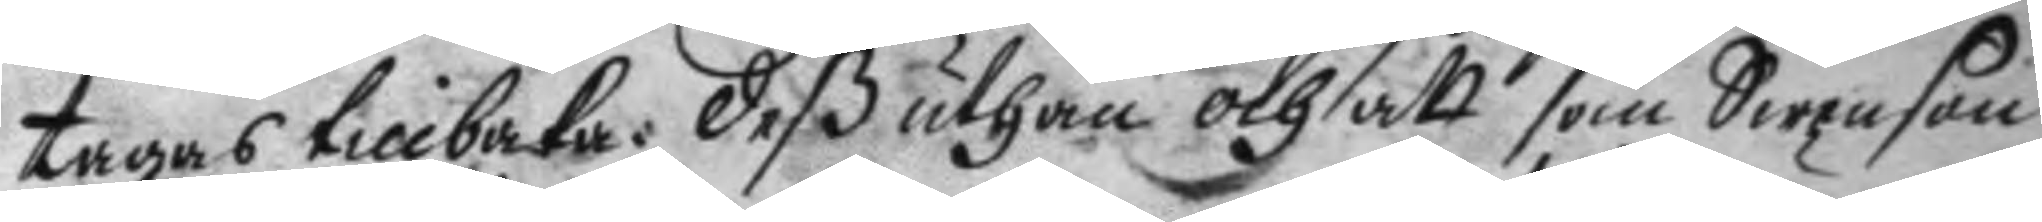tagas tillbaka: deß uthan och att som Swenson
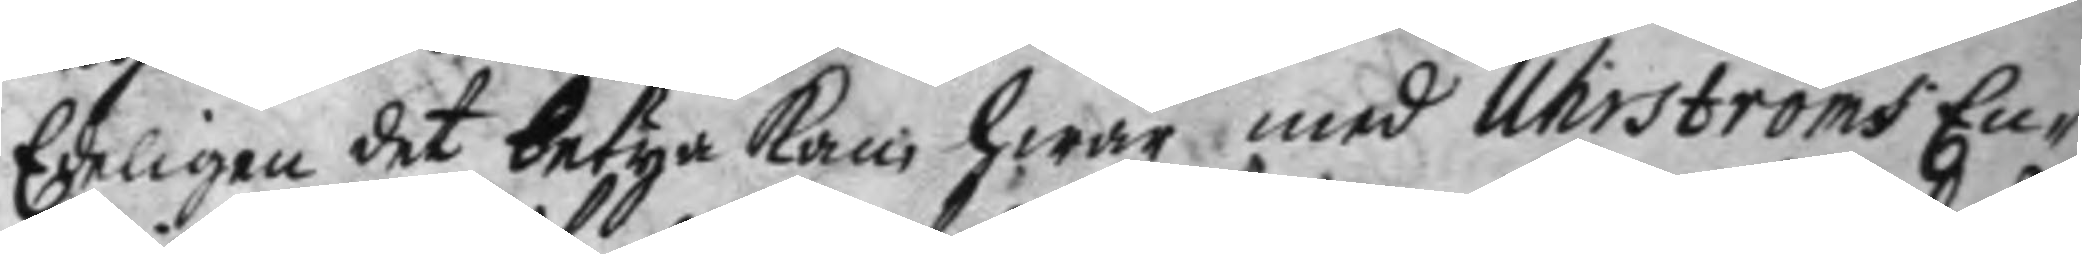Edeligen det betyga kan, hwar med Uhrströms En¬
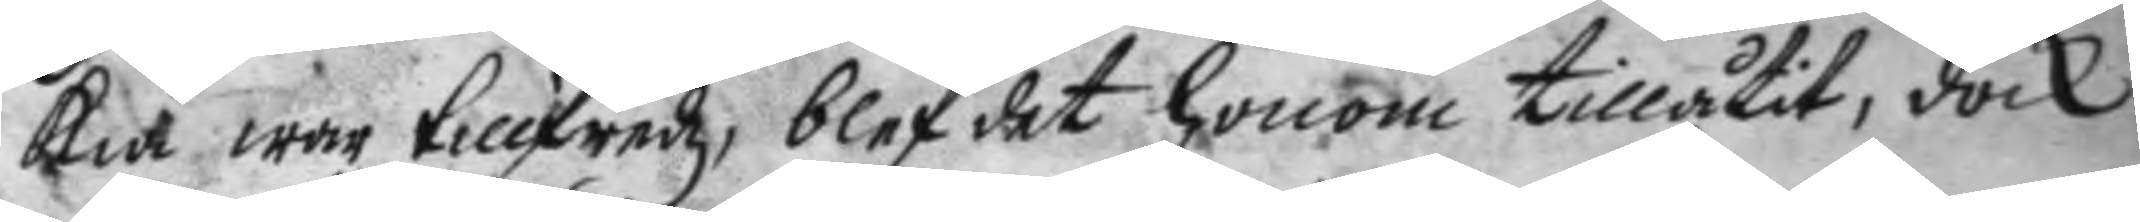kia war tillfredz, blef det honom tillåtit, dock
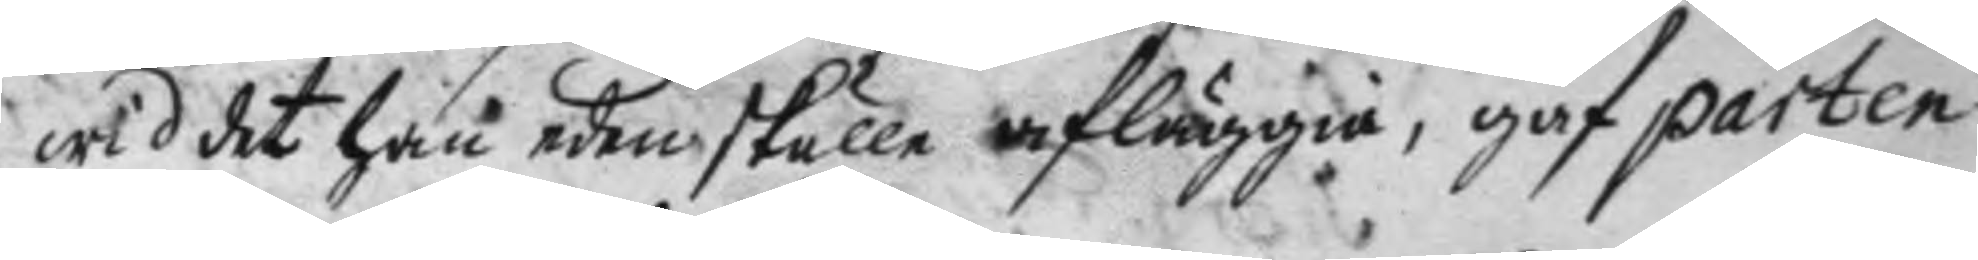wid det han eden skulle afläggia, gaf parten
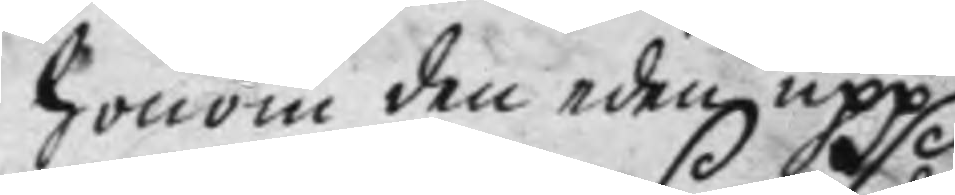honom den eden upp.
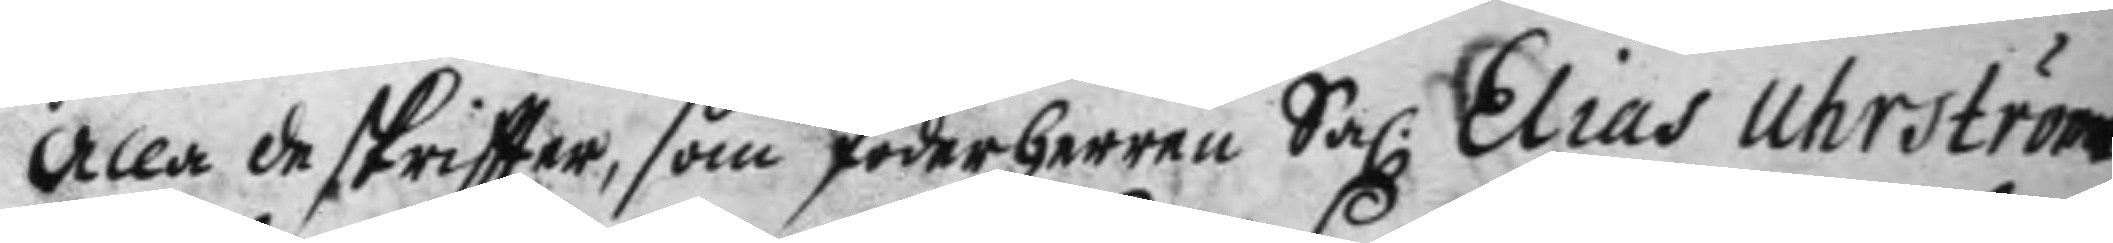Alla de skriftter som foderherren Sal: Elias Uhrström
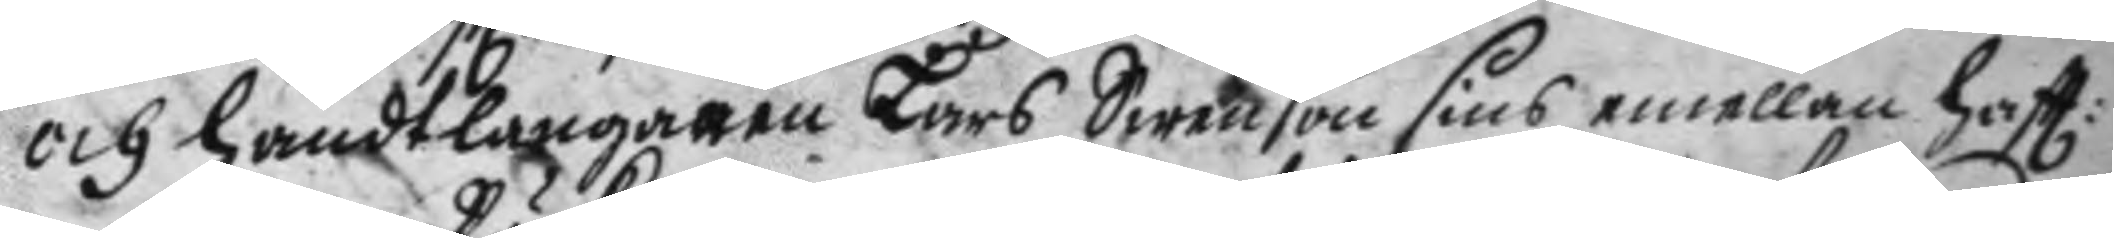och handtlangaren lars Swenson sins emellan haftt:
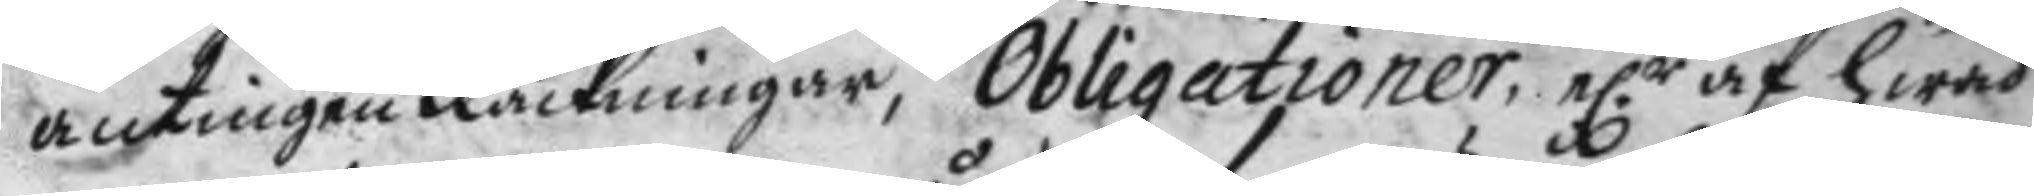antingen Räckningar, Obligationer, e.r af hwad
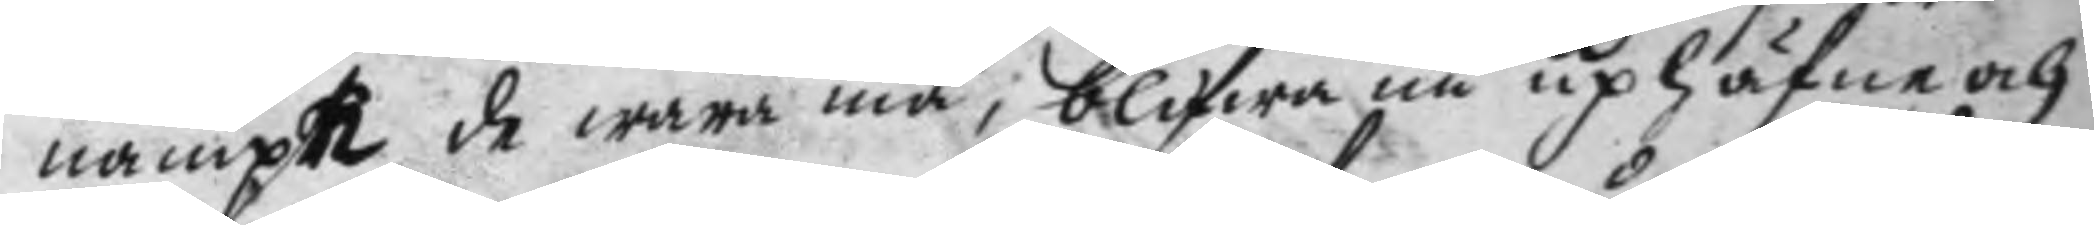nampn de wara må, blifwa nu uphäfne och
